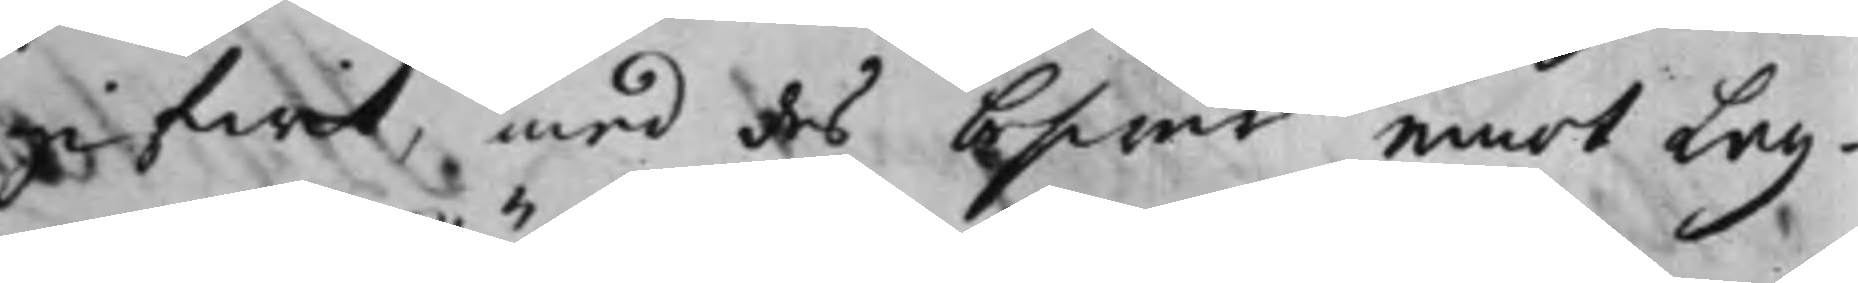gifwit, med des beswär emot Lag¬
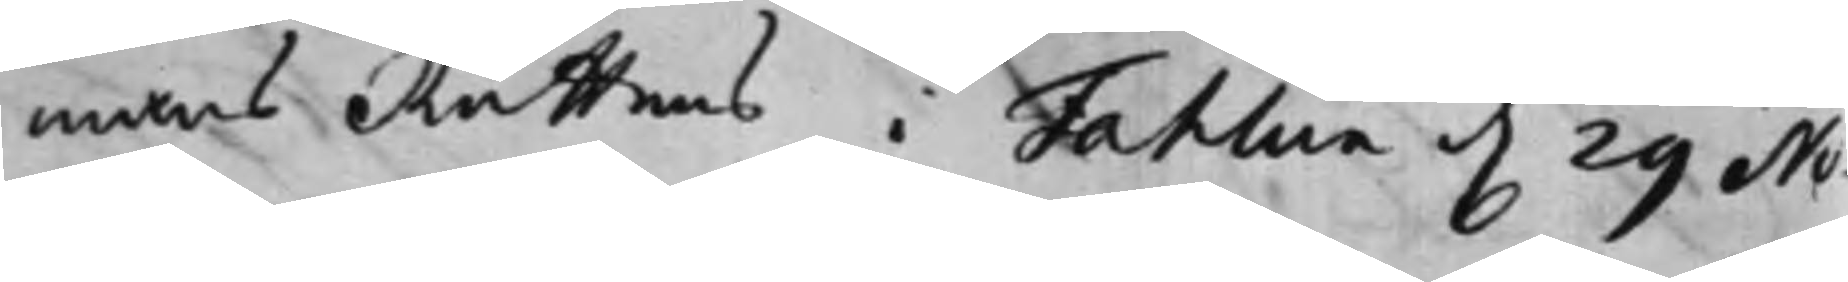mans Rättens i Fahlun d. 29 No¬
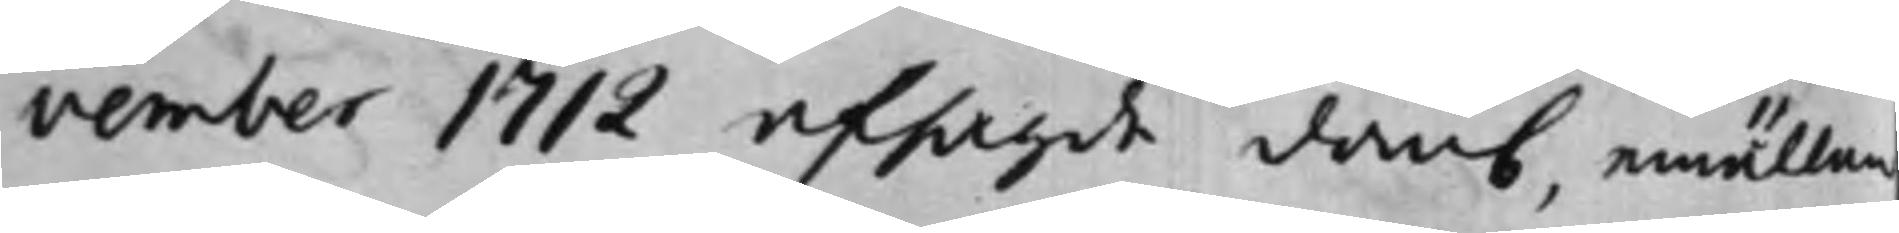vember 1712 afsagde domb, emällan
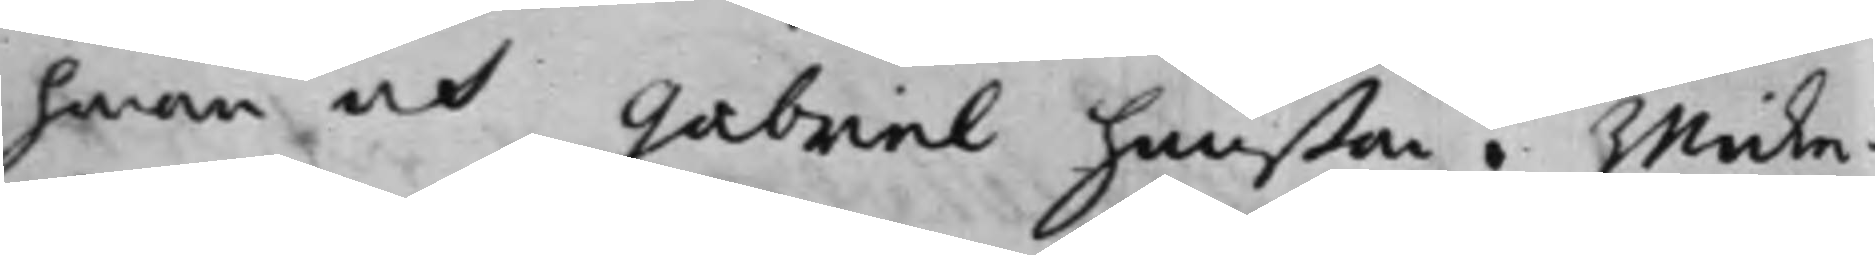honom och Gabriel Hanßon i Wicke¬
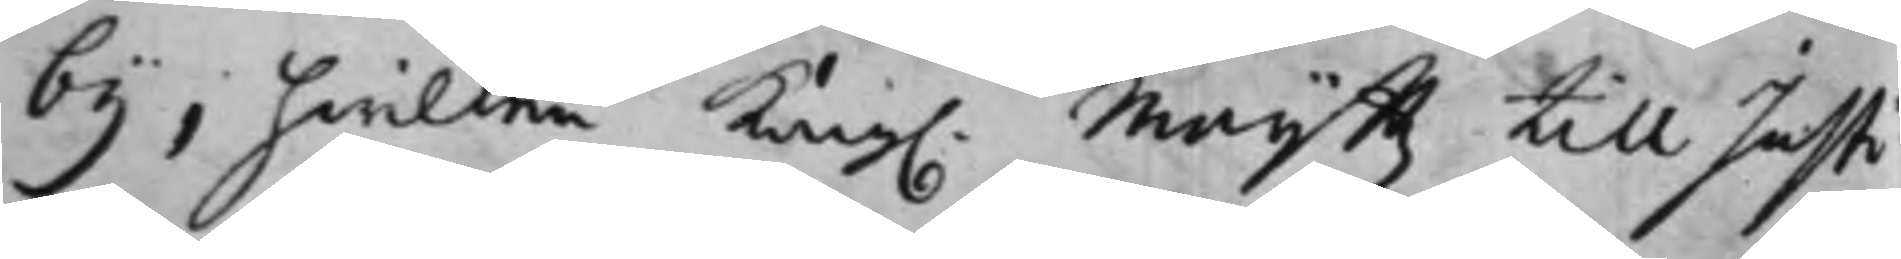by, hvilken Kong. Maij:ttz till Justi¬
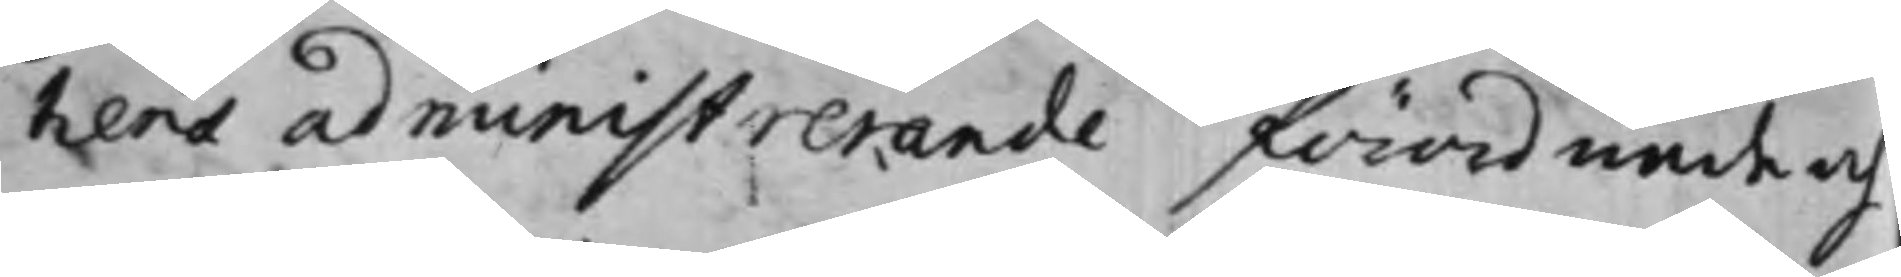tiens administrerande förordnade och
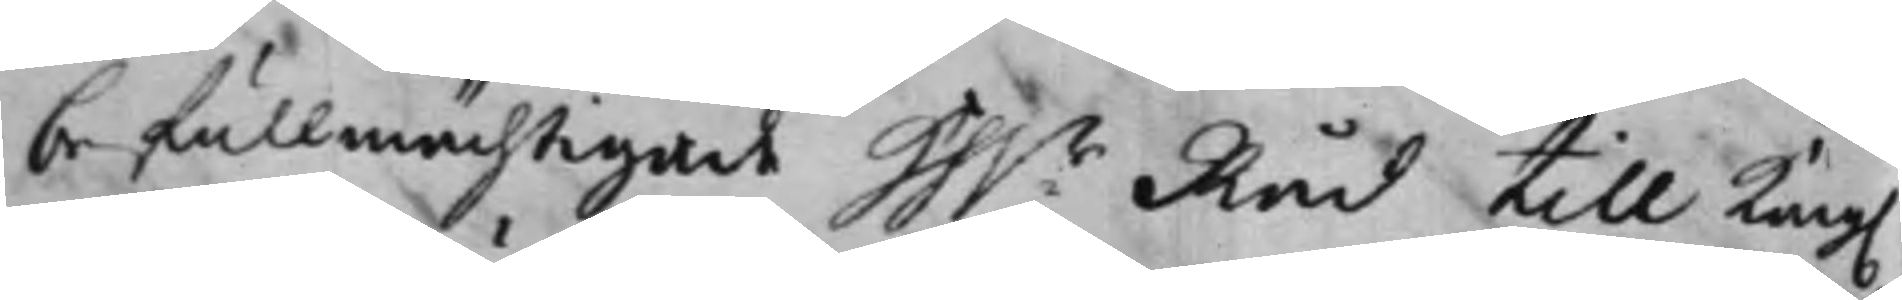befullmächtigade Hh.r Råd till Kong.
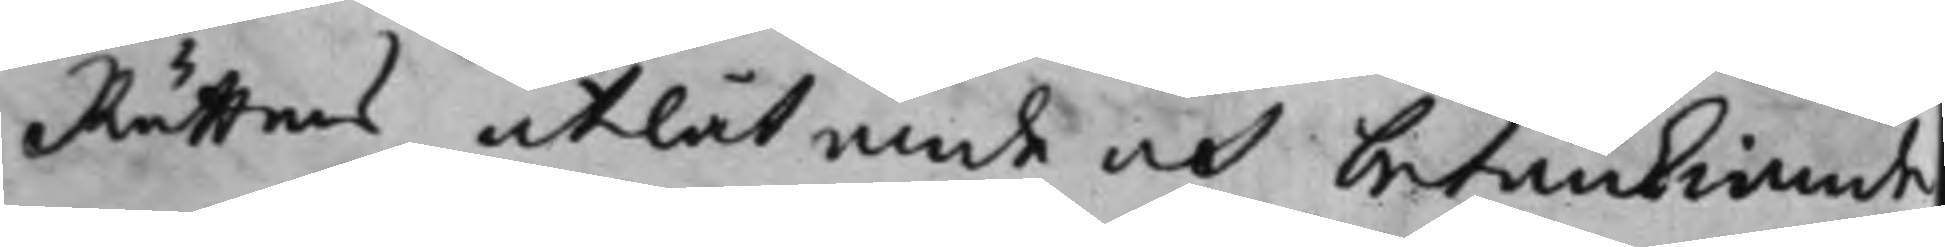Rättens utlåtande och betänkiande
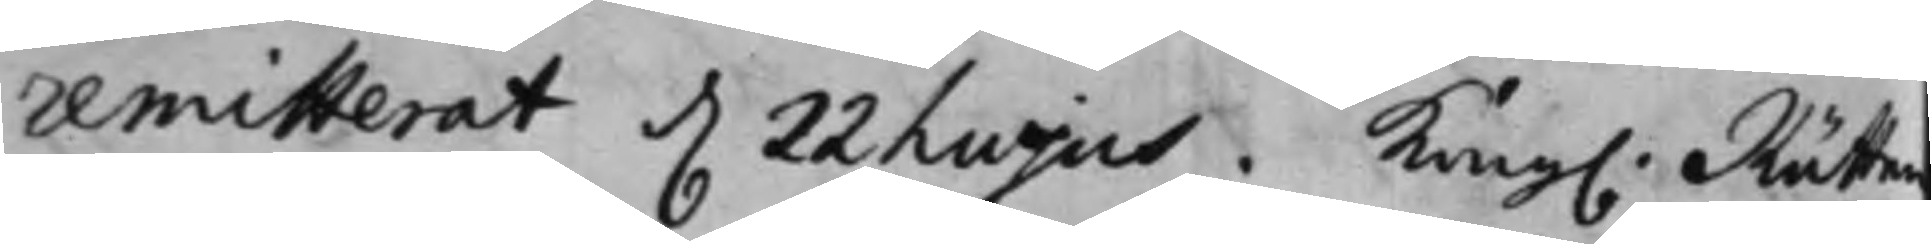remitterat d. 22 Lujus. Kong. Rätten
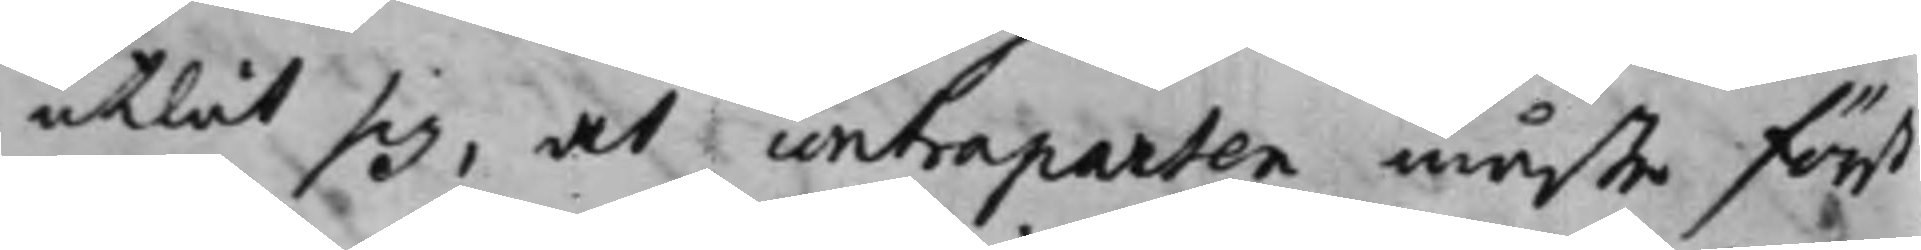utlät sig, at contraparten måste först
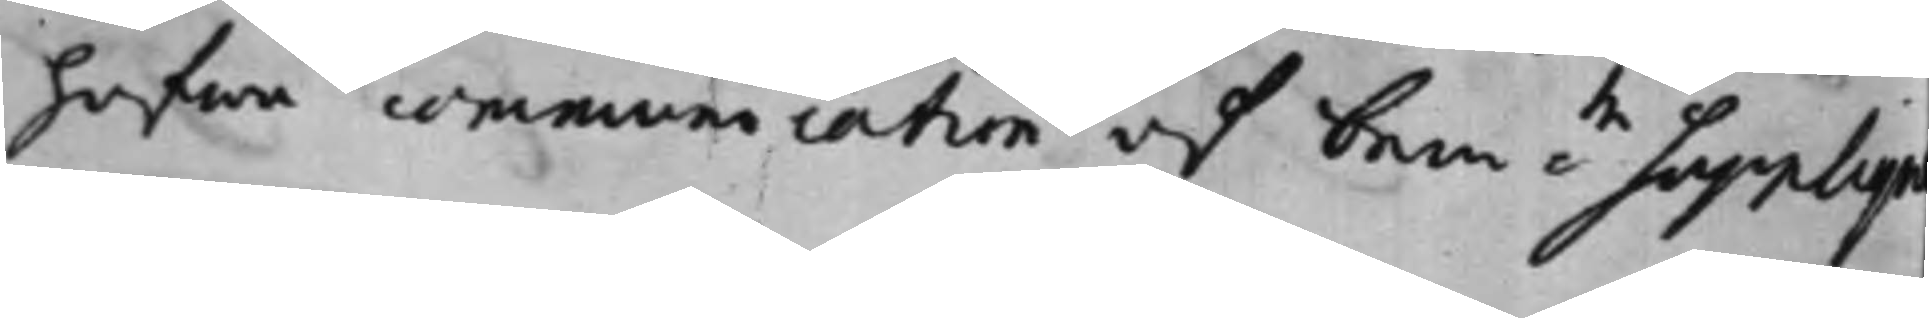hafwa communicatuon af bem:te Supplique
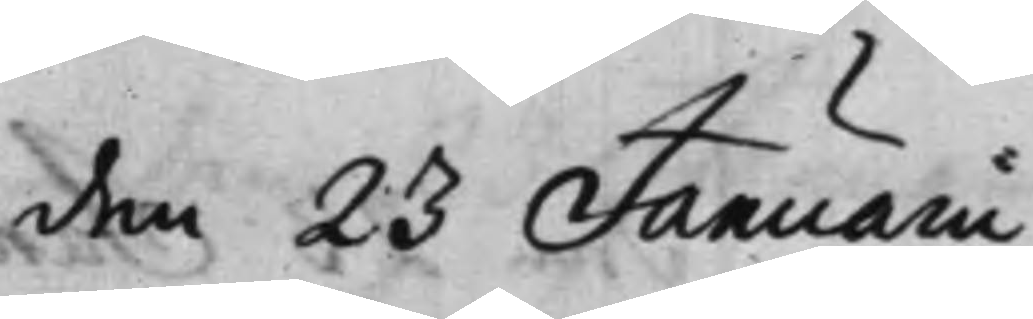den 23 Januarii
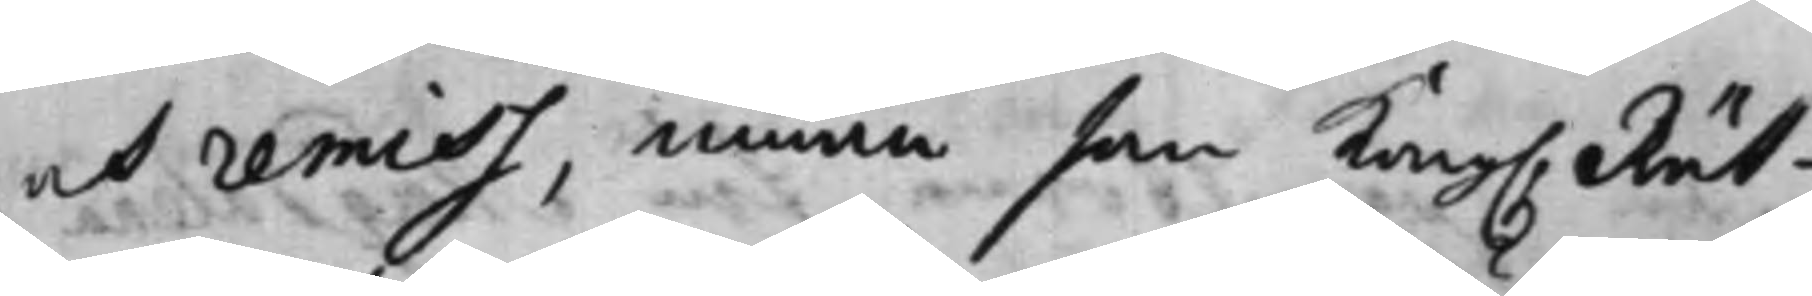och remiss, innan som Kong. Rät¬
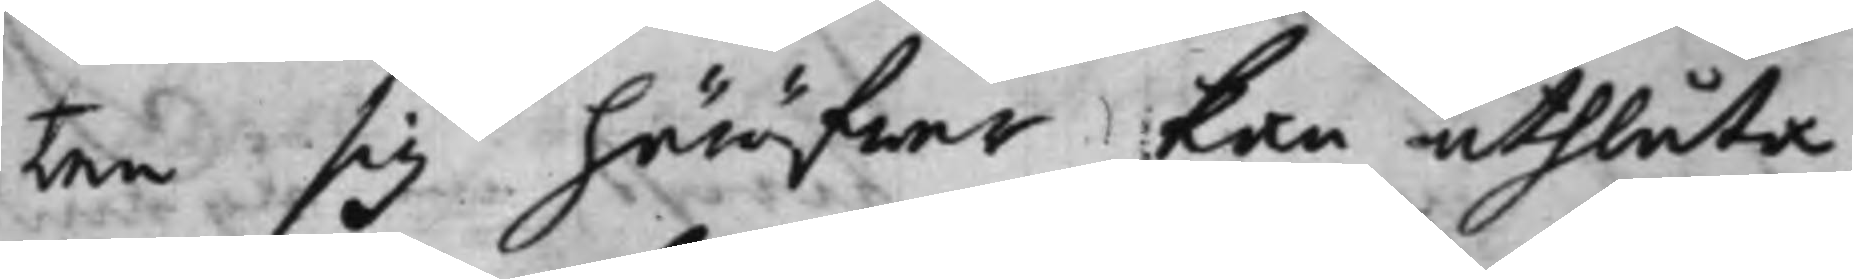ten sig häröfwer kan uthlåta,
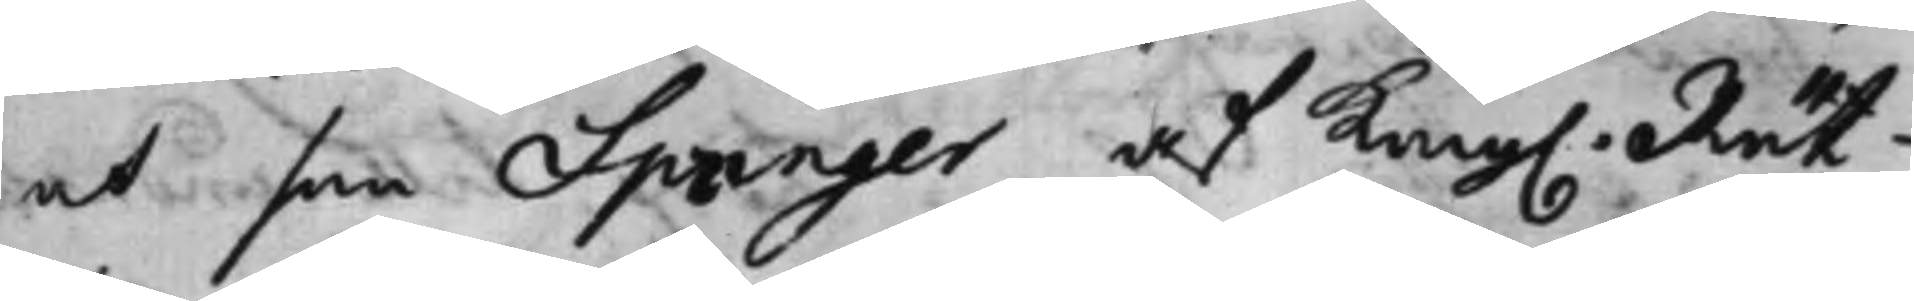at som Springer af Kong. Rät¬
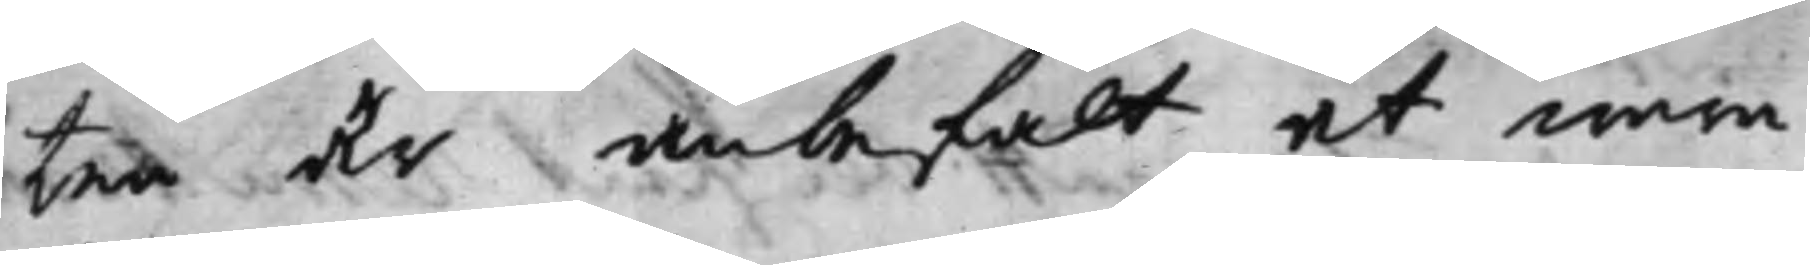ten är anbefalt at wara
